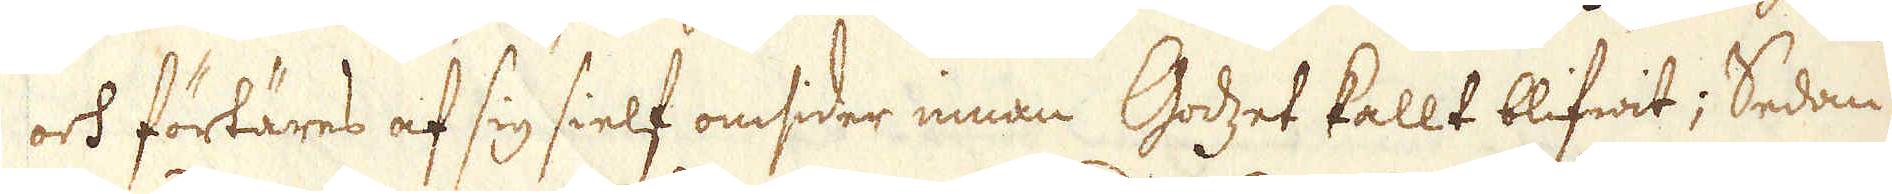och förtäres af sig sielf omsider innan Godzet kallt blifwit; Sedan
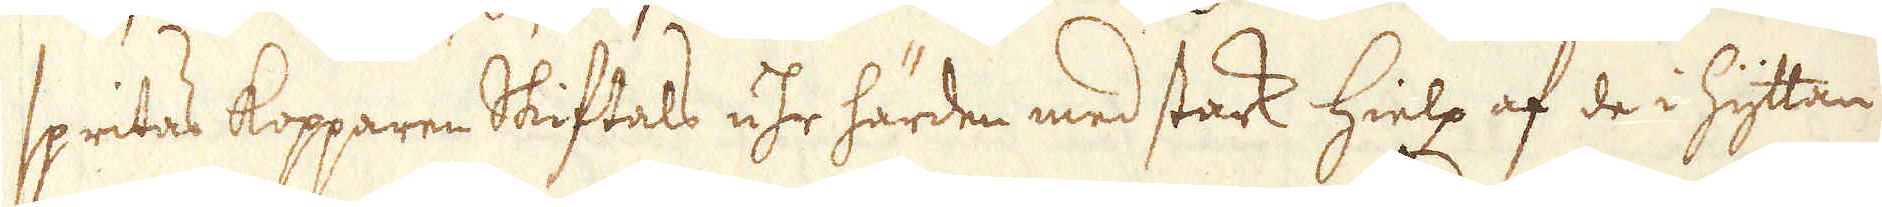spritas kopparen Skiftals uhr härden med stark hielp af de i hyttan
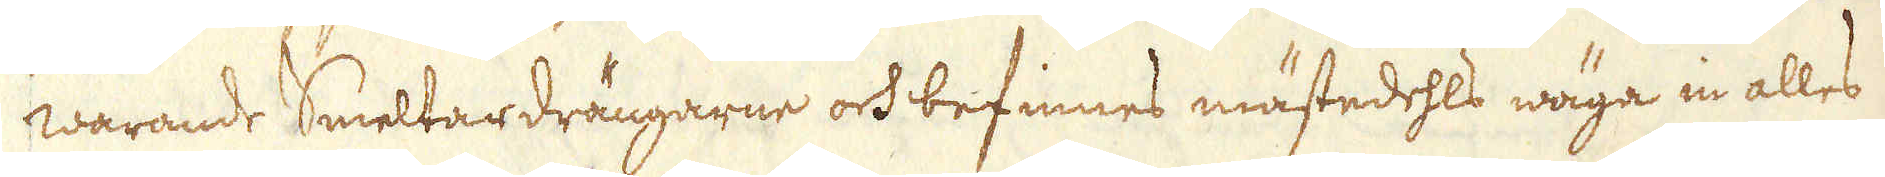warande Smeltardrängarne och befinnes mästedehls wäga in alles
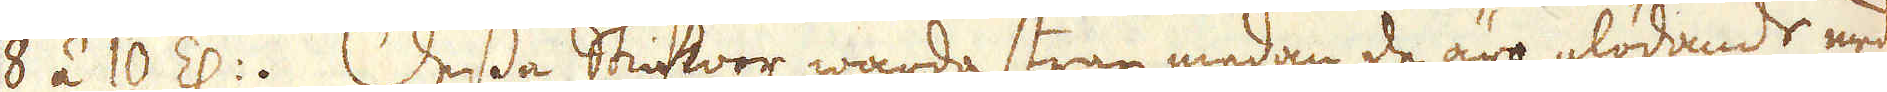8 à 10 Z:. Desse skrifwor warda strax medan de äro glödande med
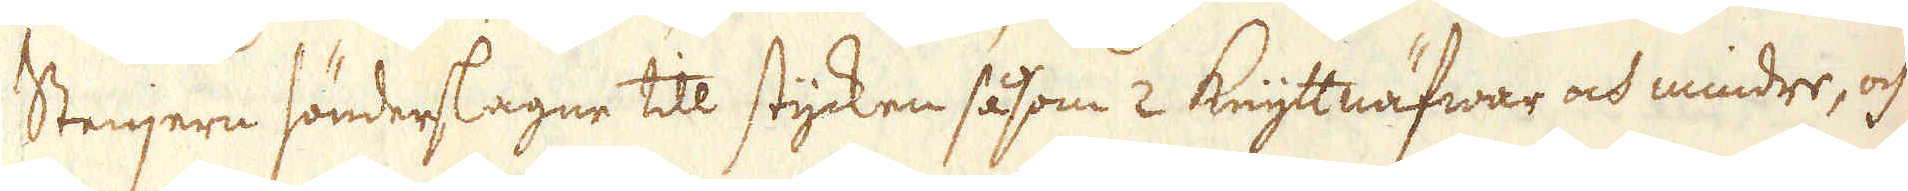Stenjern sönderslagne till stycken såsom 2 Knyttnäfwar och mindre, och
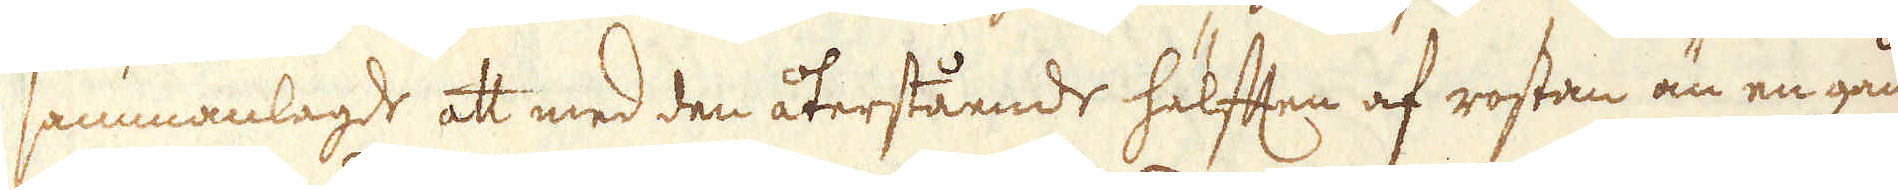sammanlagde att med den återstående hälften af rostan än en gång
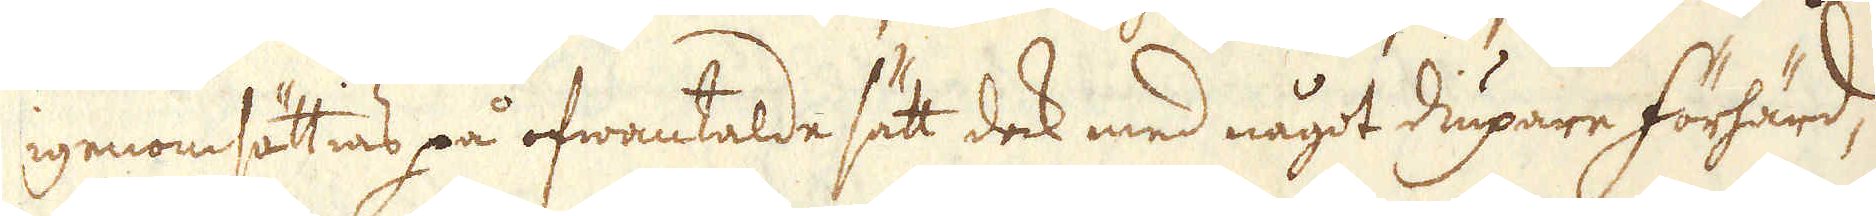igenomsättias på ofwantalde sätt dock med något diupare förhärd,
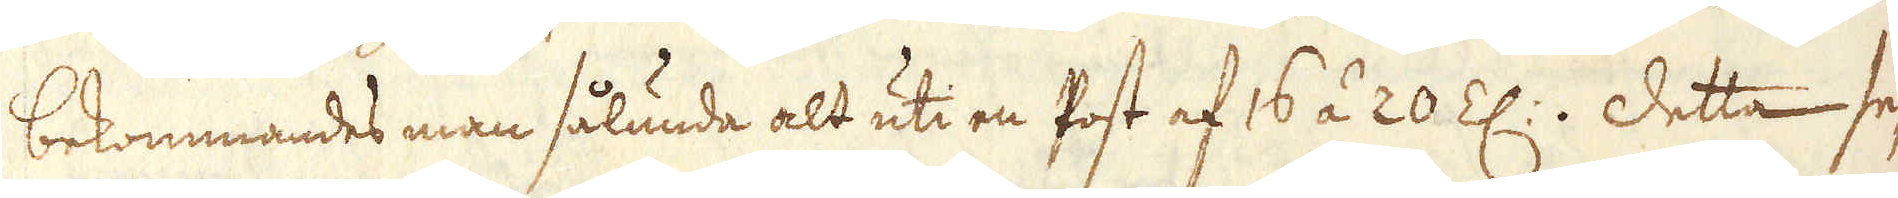bekommandes man sålunda alt uti en Post af 16 á 20 Z:. Detta se-
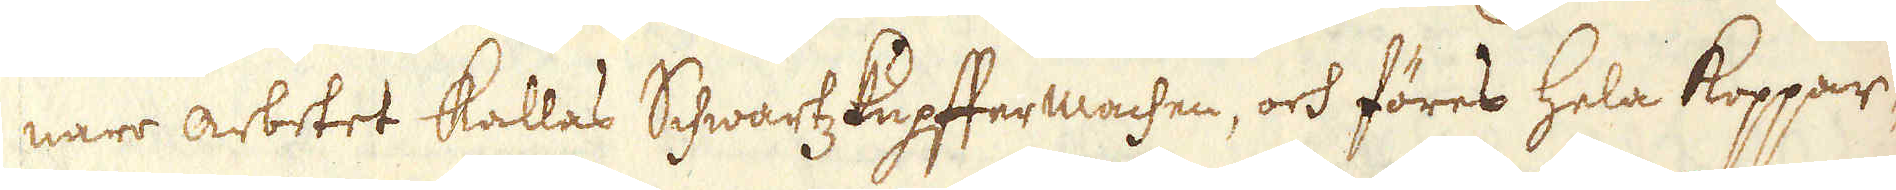nare arbetet kallas Schwartzkupffermachen, och föres hela Koppar-
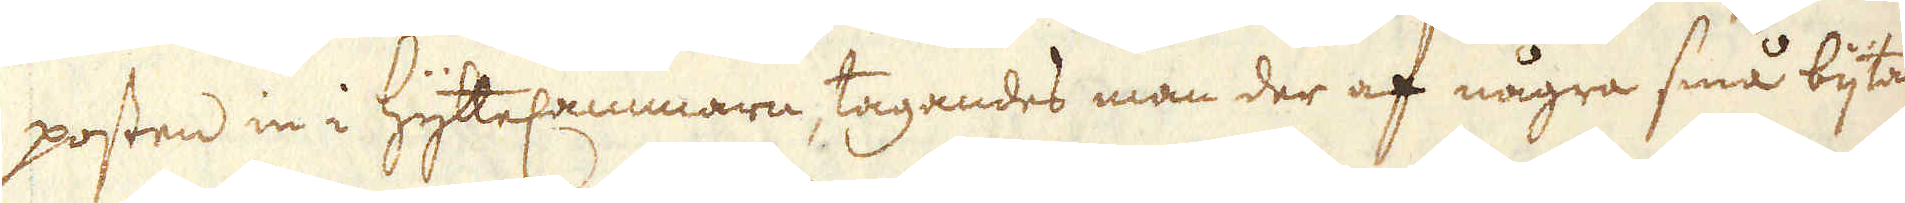posten in i HytteCammarn, tagandes man der af några små bijtar
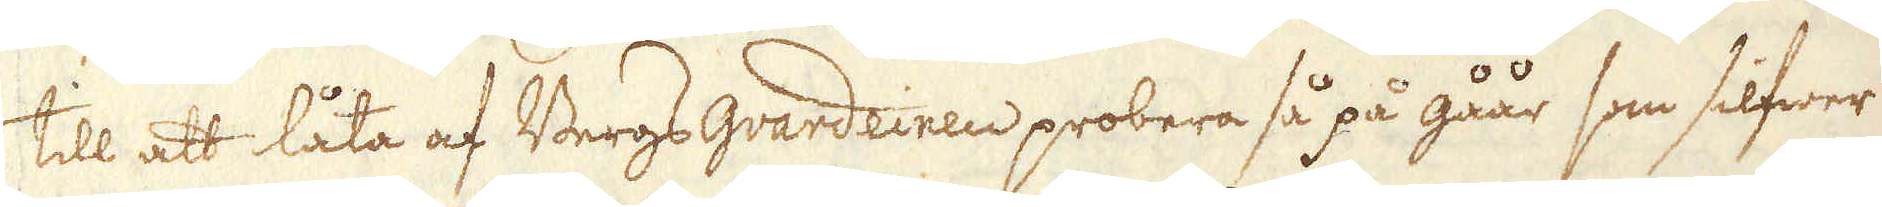till att låta af Bergsquardeinen probera så på gåår som silfwer
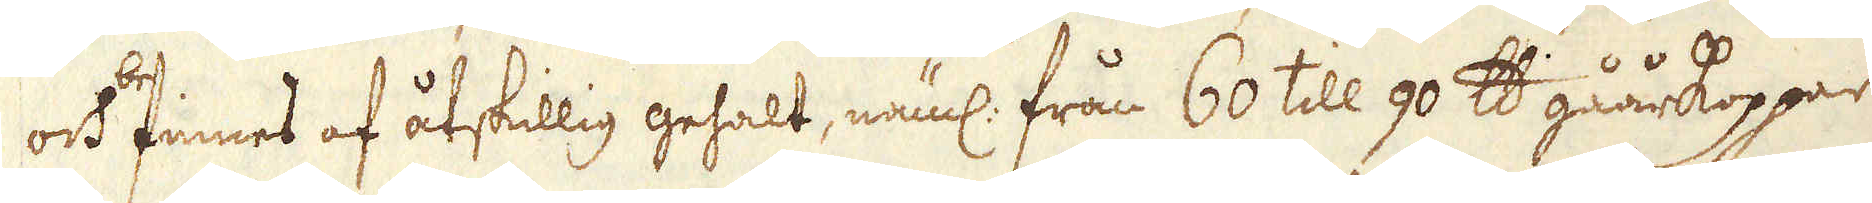och befinnes af åtskillig gehalt, näml: från 60 till 90 skålpund gåårkoppar
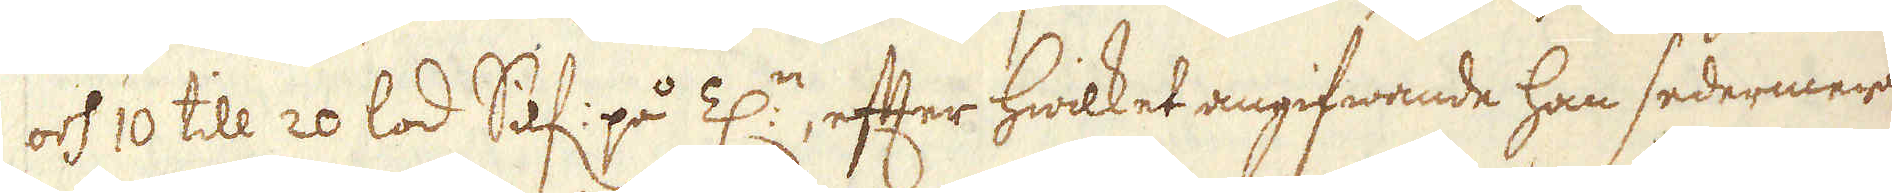och 10 till 20 lod Silf: på Z:n, efter hwilket angifwande han sedermera
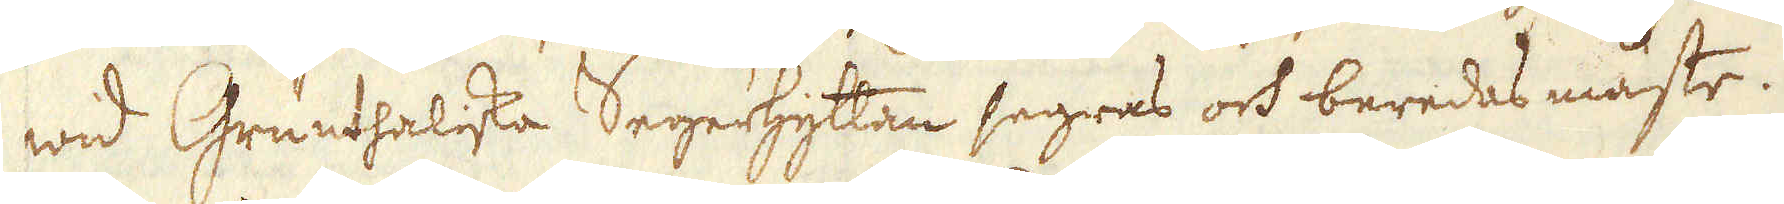wid Grunthalska Segerhyttan segras och beredas måste.
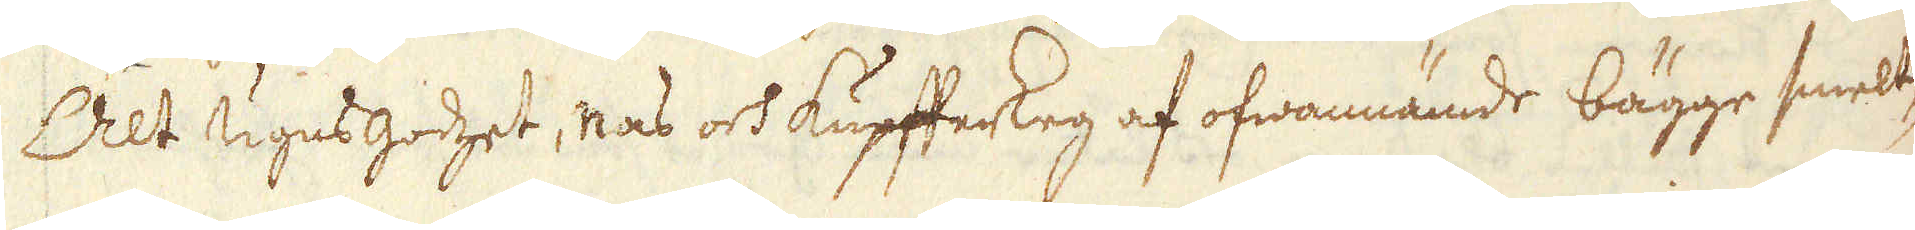Alt ugnsgodzet, nas och kupffersteg af ofwannämde bägge smelt-
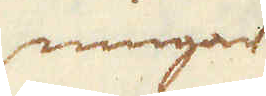ningar
